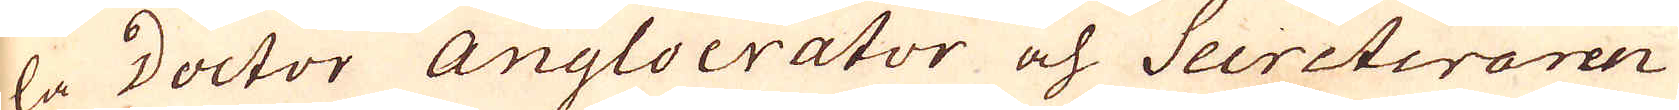la Doctor Angloerator och Secreteraren
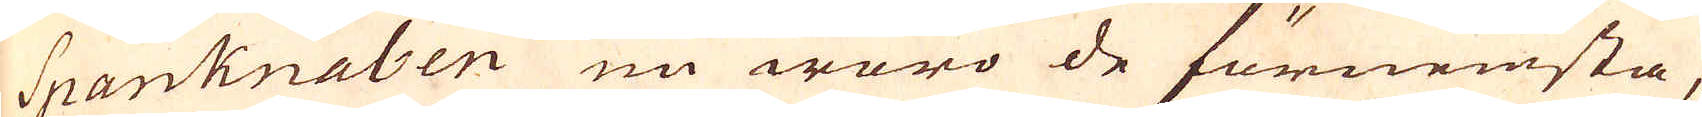Spanknaben nu woro de förnemsta,
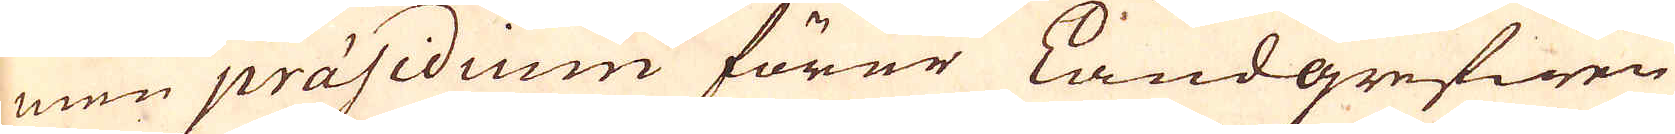men präsidiium förer Landgrefen
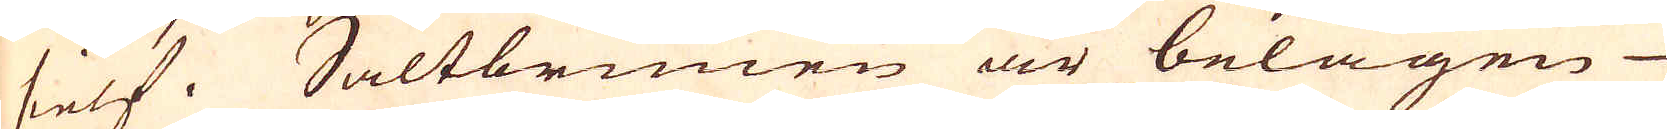sielf. Saltbrunen är belägen
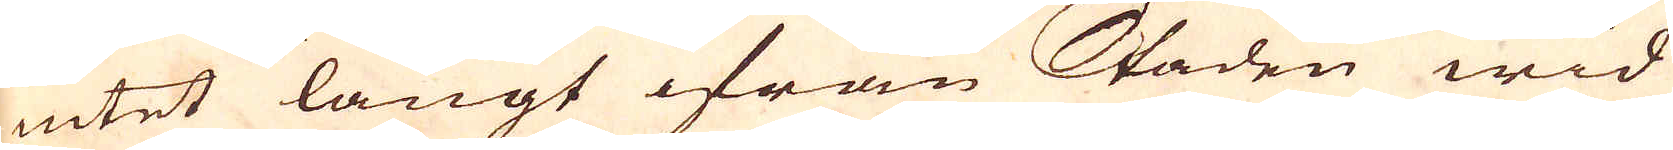intet längt ifrån Staden wid
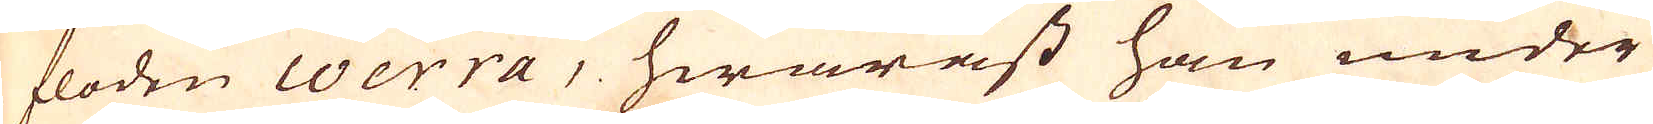floden Coerra, hwaräst han under
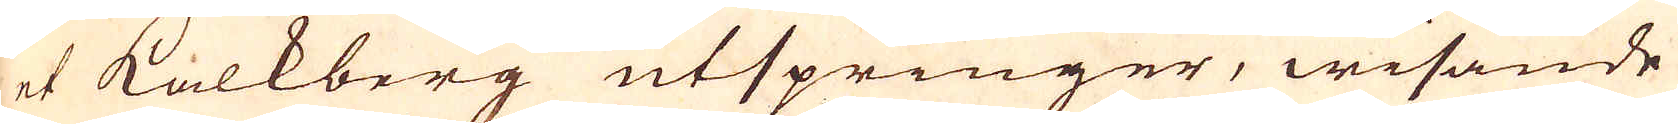et kalkberg utspringer, wisande
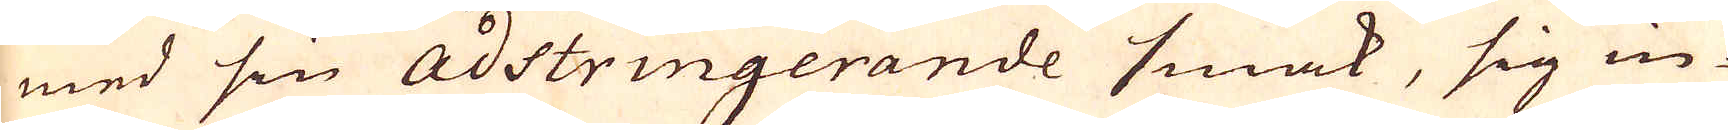med sin Adstringerande smak, sig in-
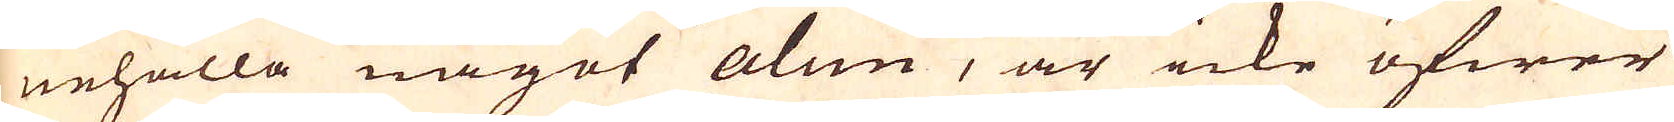nehålla något alun, är icke öfwer
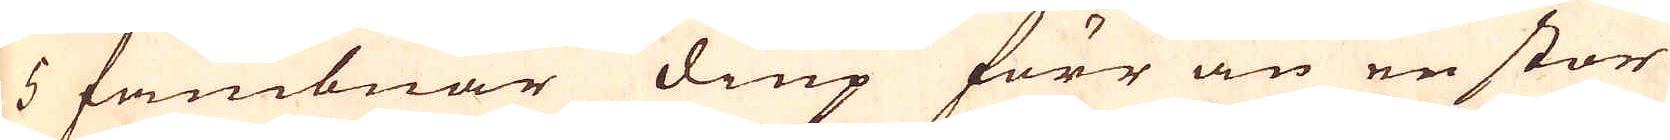5 fambnar diup förr än en stor
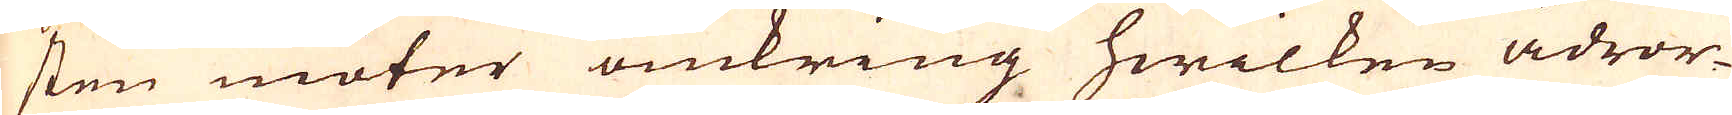sten möter omkring hwilken ådror-
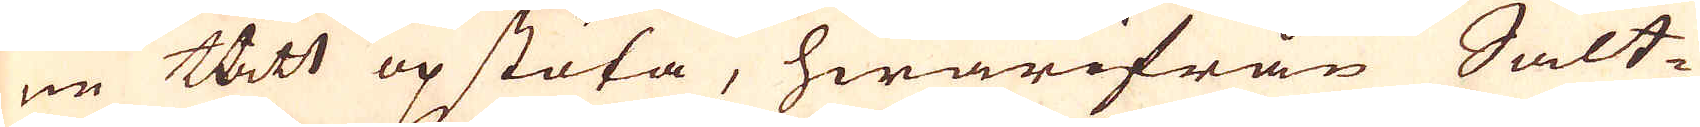ne thett op stöta, hwarifrån Salt-
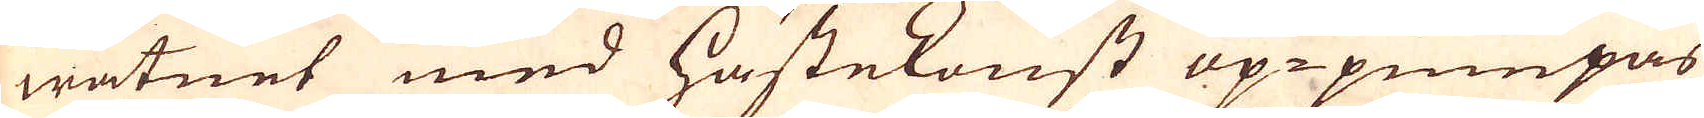watnet med hästekonst op-pumpas
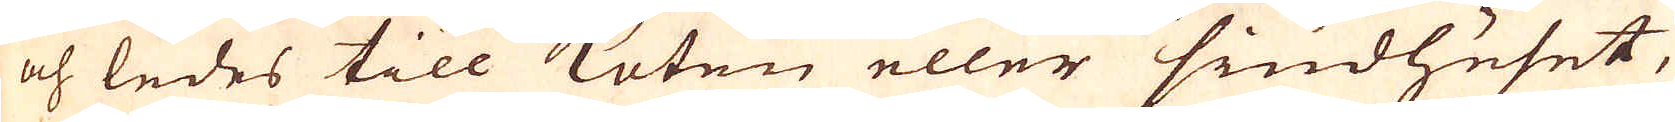och ledes till Koten eller siudhuset,
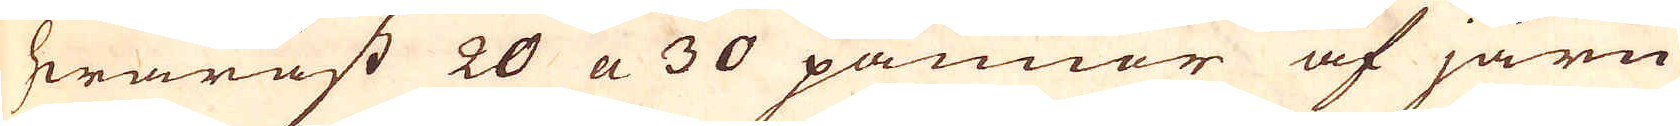hwaräst 20 a 30 pannor af järn
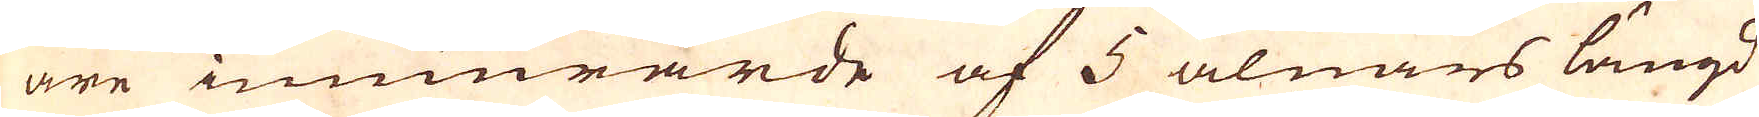äre innurarde af 5 alnars längd
